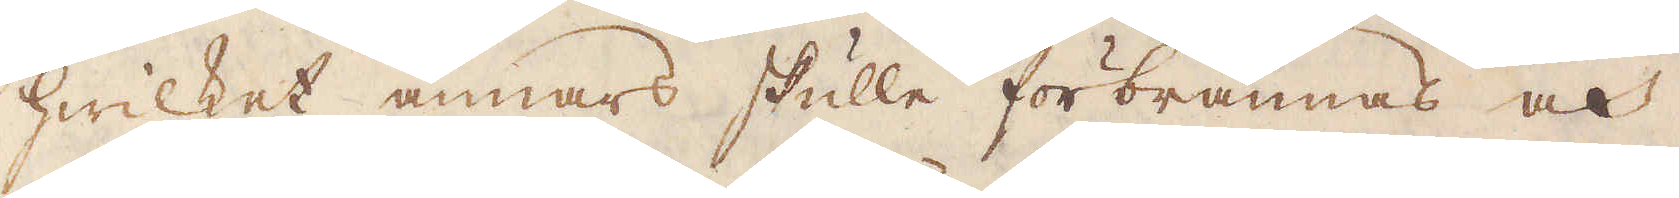hwilket annars skulle förbrännas och
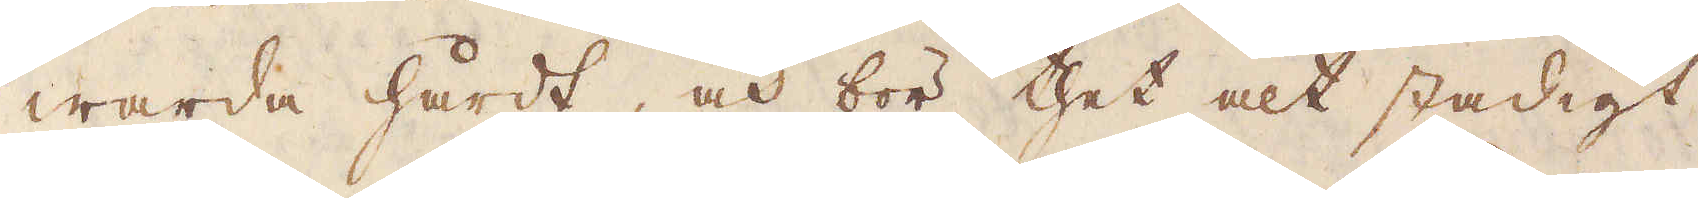warda hårdt, och bör thet alt stadigt
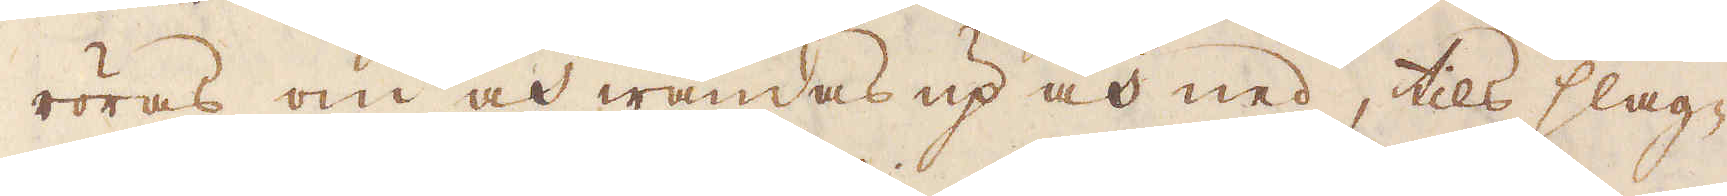röras om och wändas up och ned, tils slag-
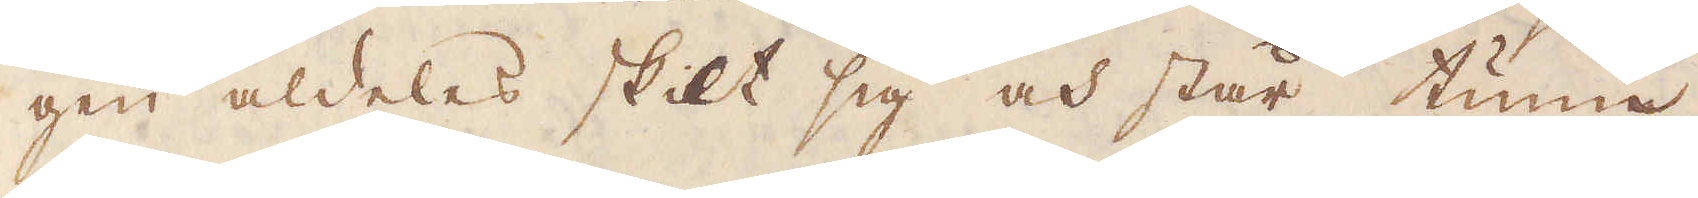gen aldeles skilt sig och står tunn
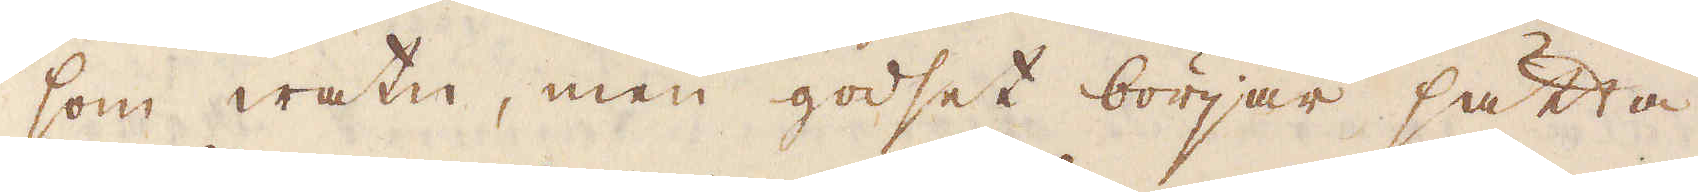som watn, men godset börjar sätta
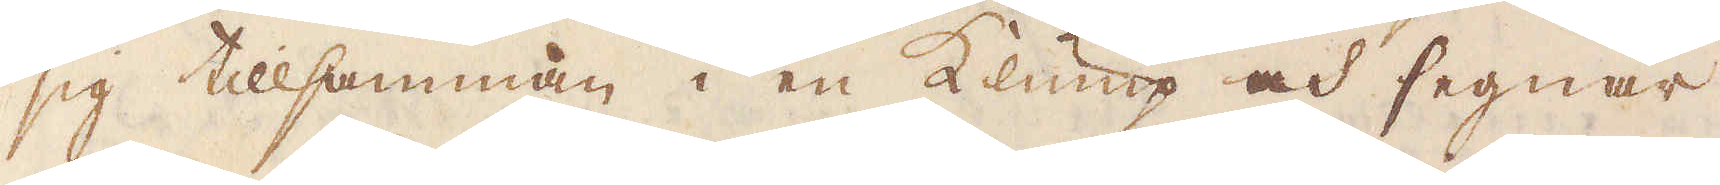sig tillsamman i en Klump och segnar
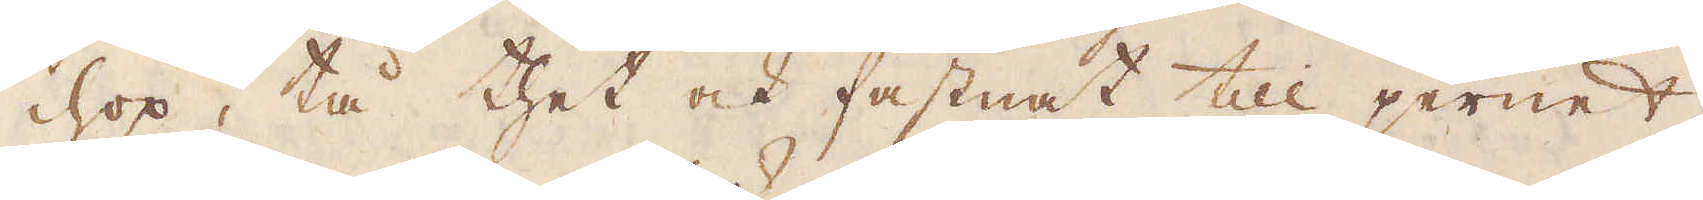ihopp, tå thet ock fastnat till jernet,
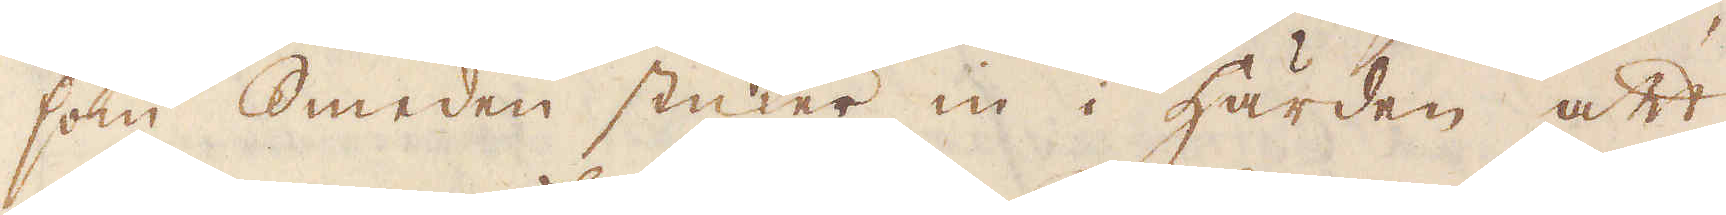som Smeden stuker in i härden att
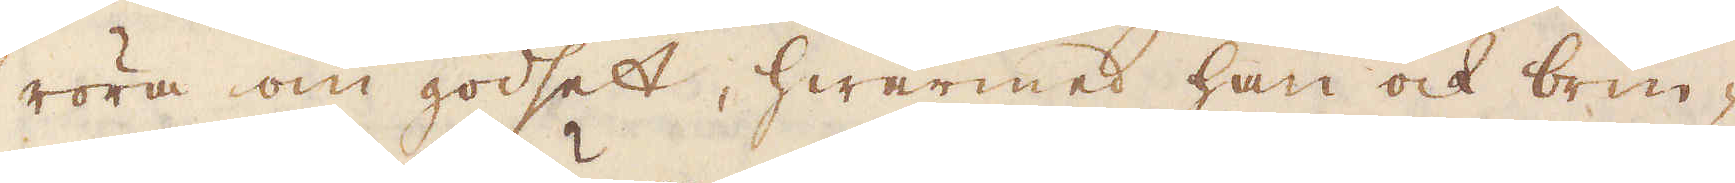röra om godset, hwarmed han ock brin-
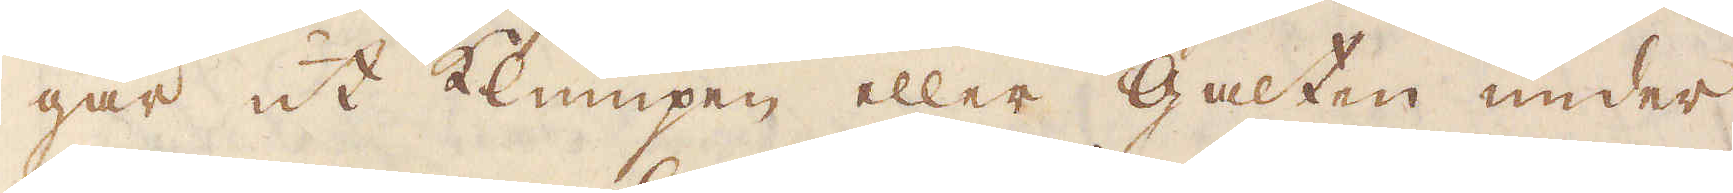gar ut Klumpen eller Galten under
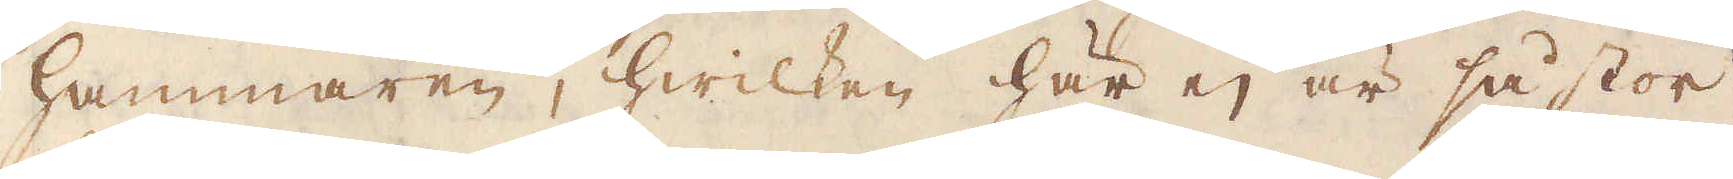hammaren, hwilken här ej är så stor
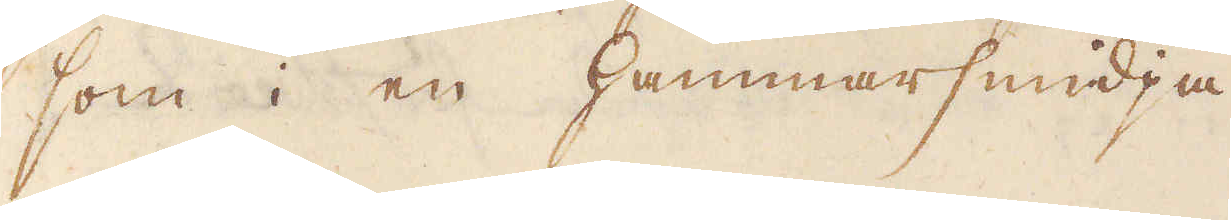som i en Hammarsmidja.
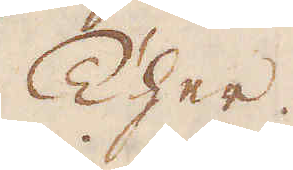Ther
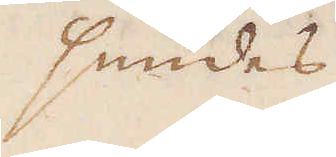smides
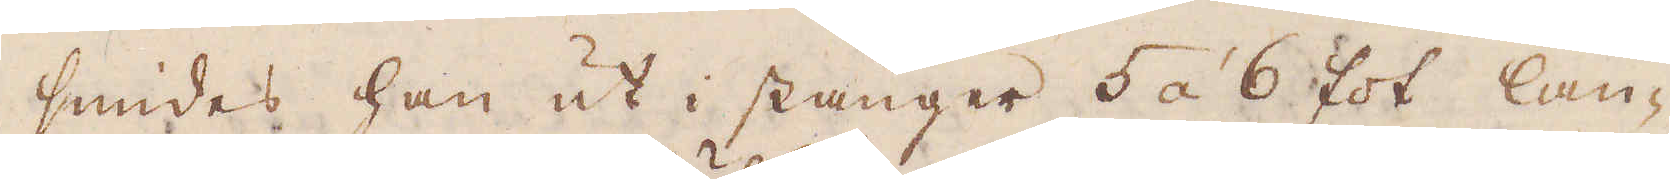smides han ut i stänger 5 à 6 fot lån-
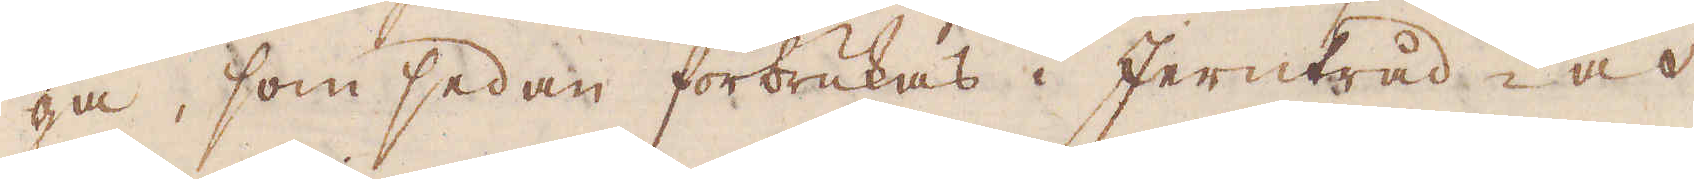ga, som sedan förbrukas i Jerntråd, och
